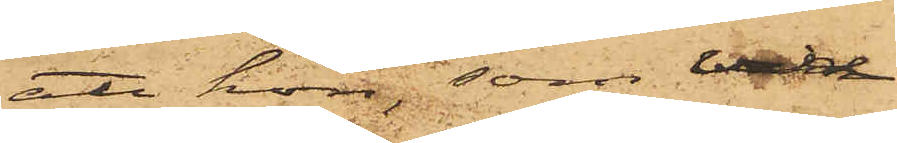att hon, som vid
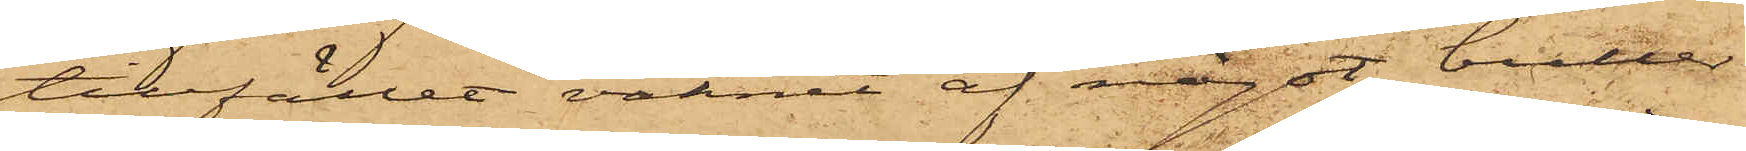tillfället vaknat af något buller
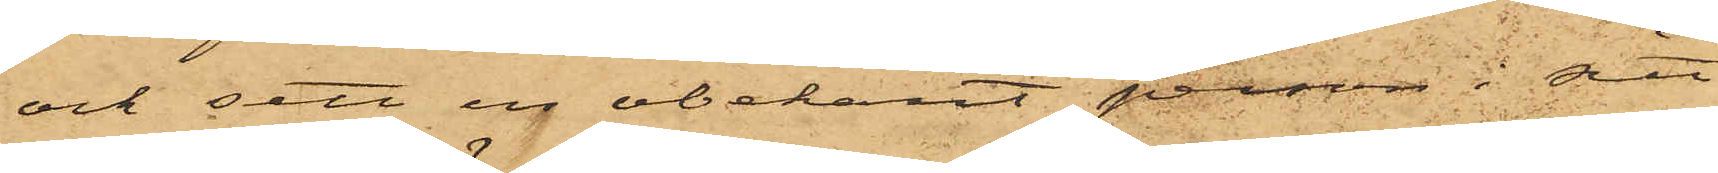och sett en obekant person i sitt
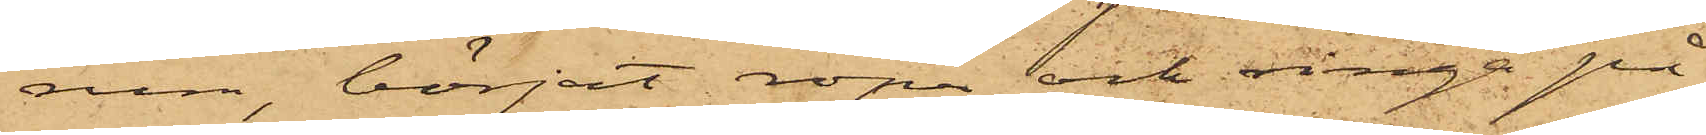rum, börjat ropa och ringa på
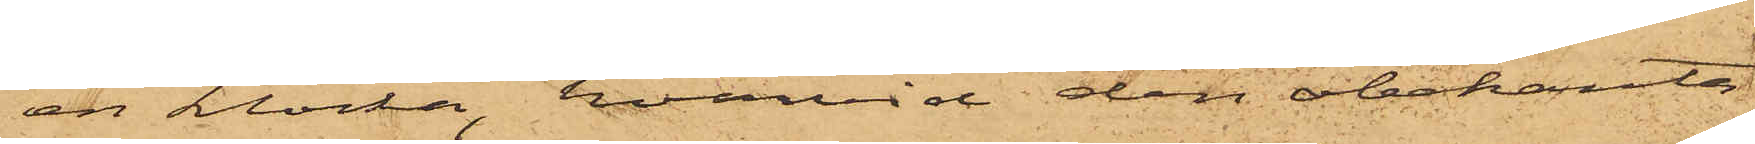en klocka, hvarvid den obekante
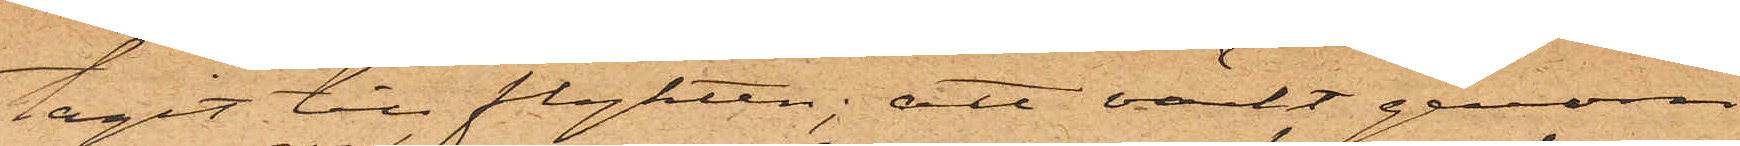tagit till flykten; att väckt genom
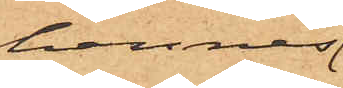hennes
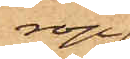rop
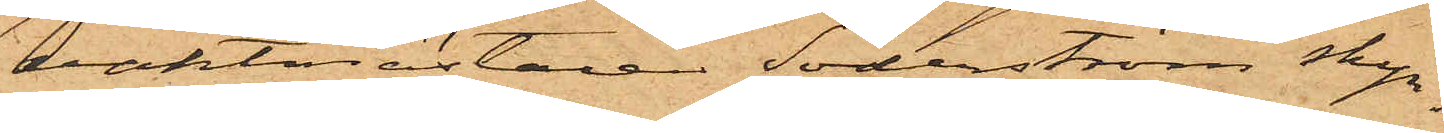vaktmästaren Söderström skyn¬
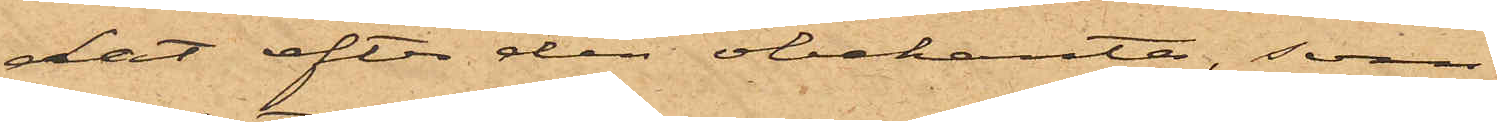dat efter den obekante, som
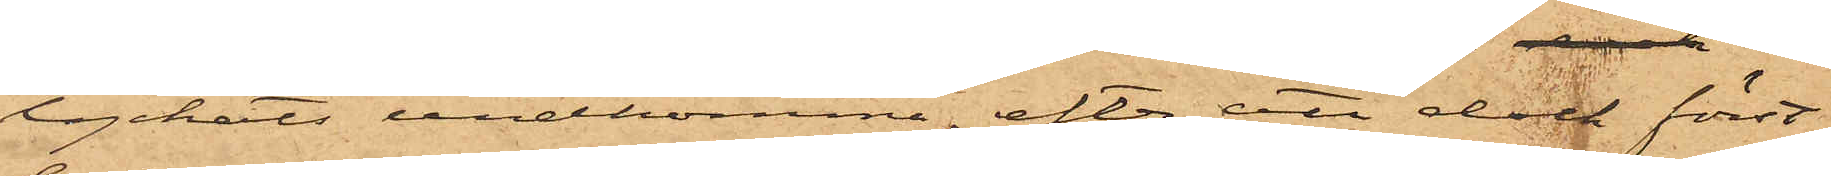lyckats undkomma, efter att dock först
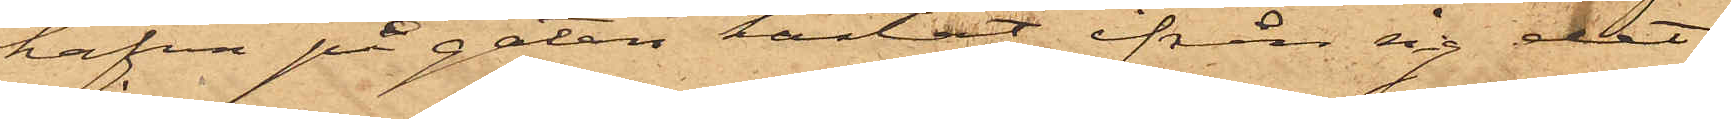hafva på gatan kastat ifrån sig det
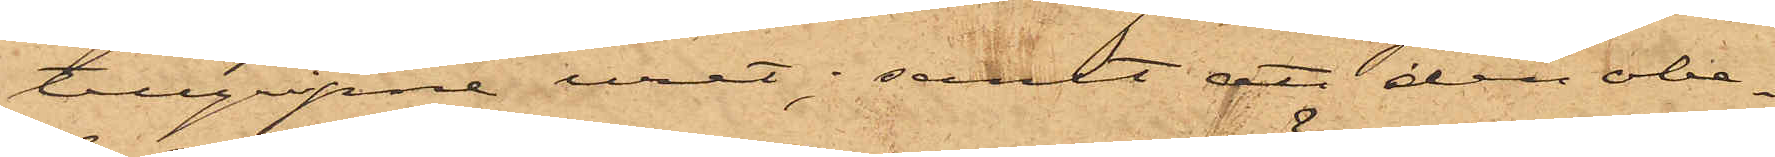tillgripne uret; samt att den obe¬
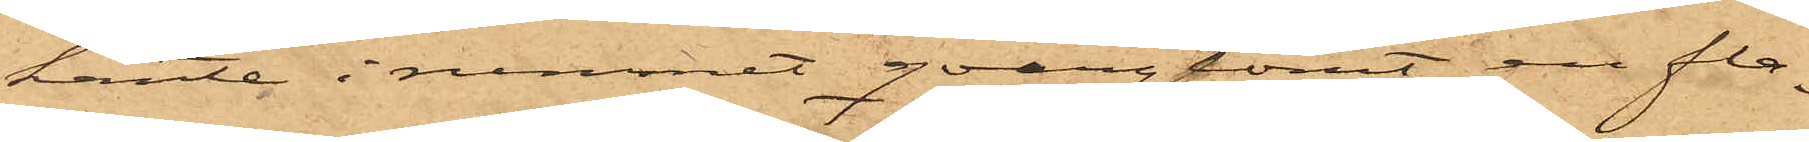kante i rummet qvarglömt en fla¬
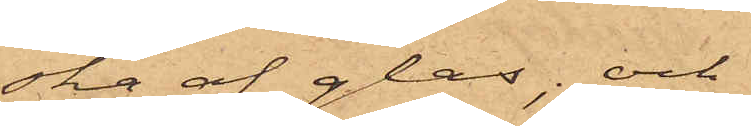ska af glas,; och
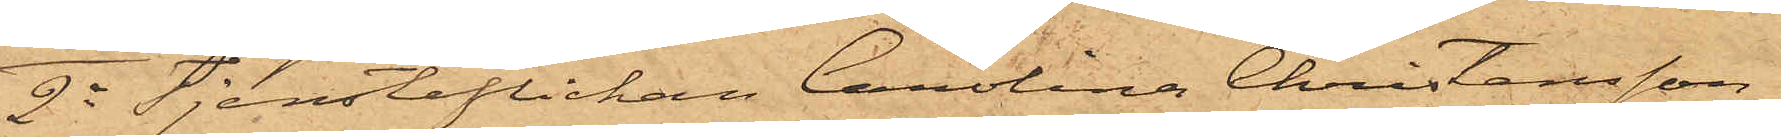2o Tjensteflickan Carolina Christensson,
